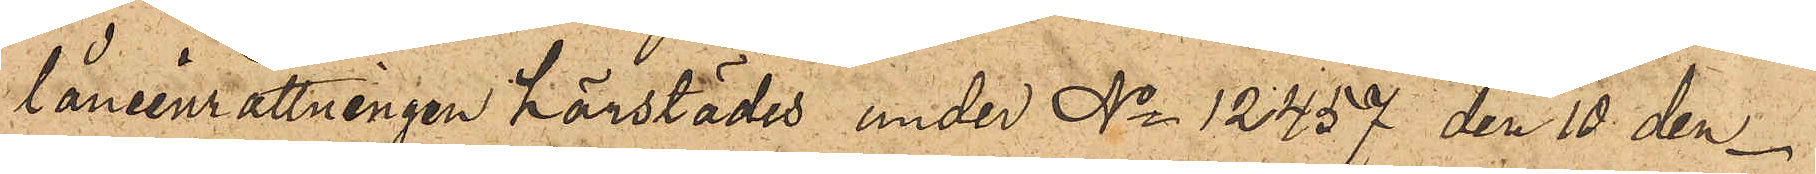låneinrättningen härstädes under No 12457 den 10 den¬
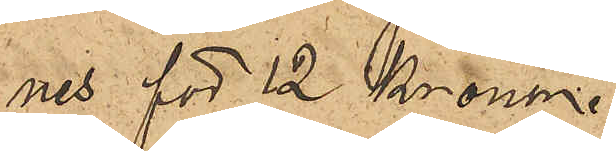nes för 12 Kronor.
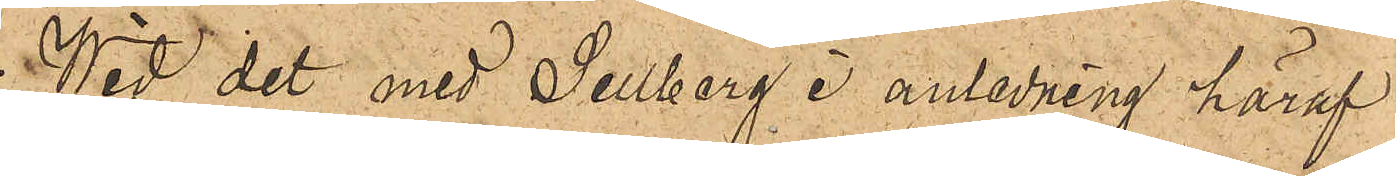Wid det med Sellberg i anledning häraf
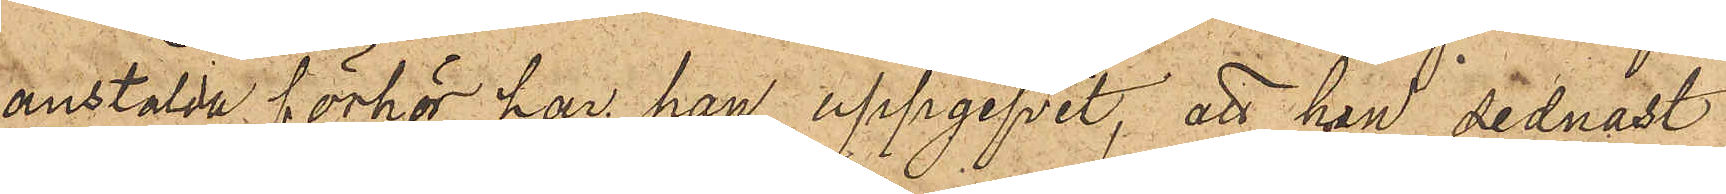anstälda förhör har han uppgifvit, att han sednast
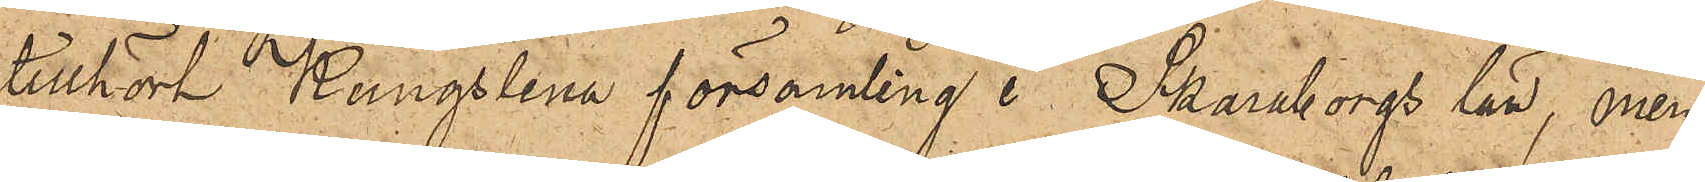tillhört Kungslena församling i Skaraborgs län, men
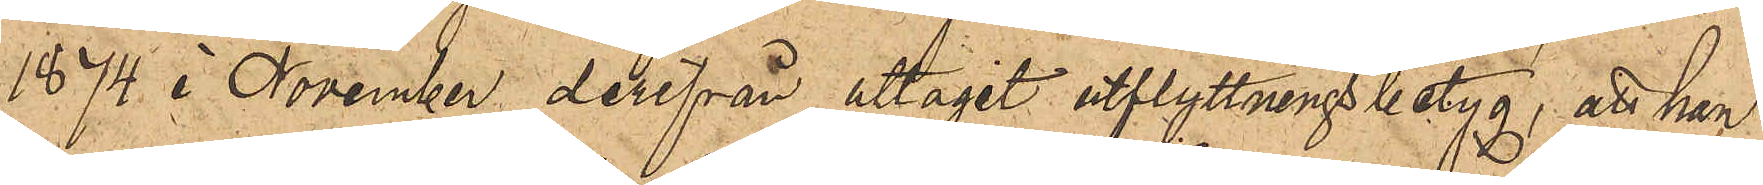1874 i November derifrån uttagit utflyttningsbetyg; att han
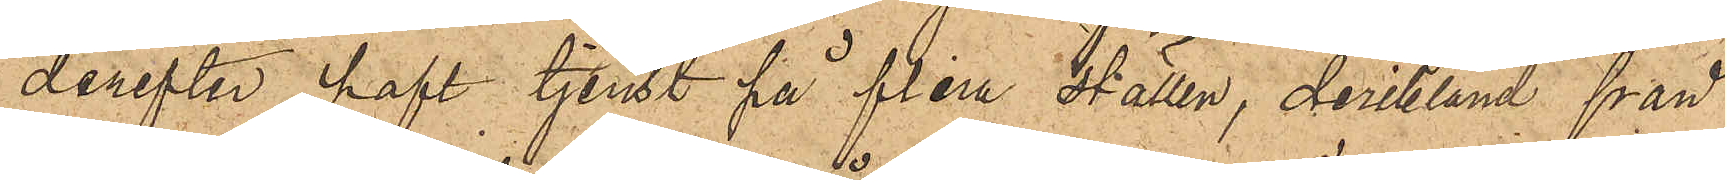derefter haft tjenst på flera ställen, deribland från
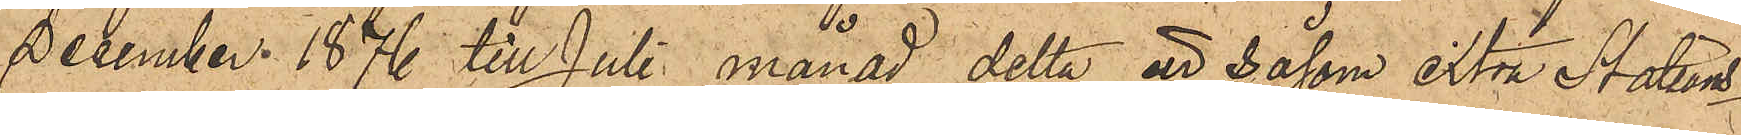December 1876 till Juli månad detta år såsom extra Stations¬
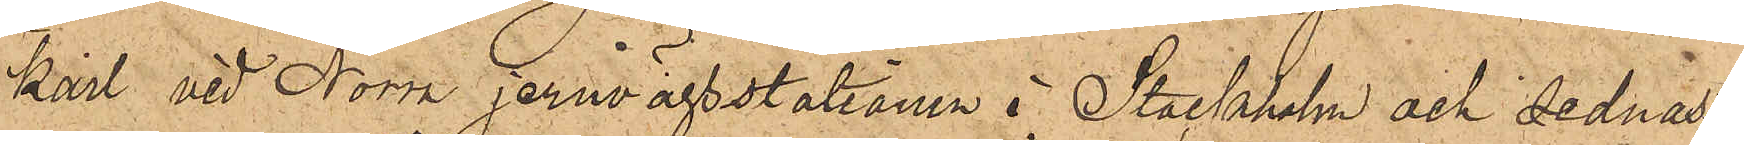karl vid Norra jernvägsstationen i Stockholm och sednast
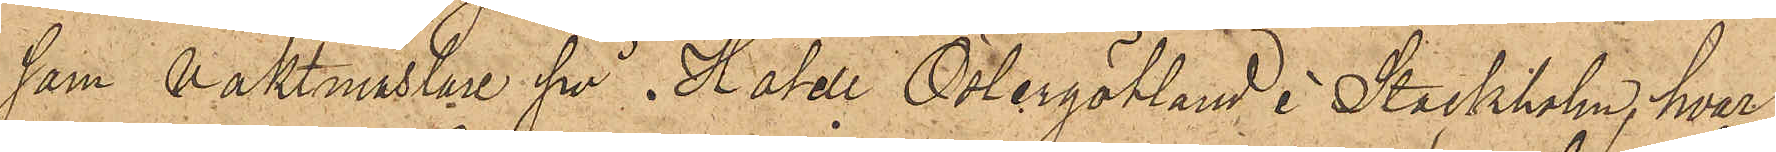som Vaktmästare på i Hotell Östergötland i Stockholm, hvar¬
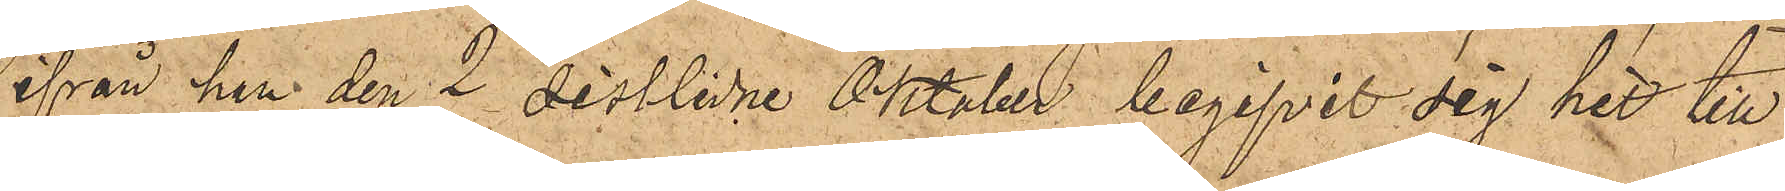ifrån han den 2 sistlidne Oktober begifvit sig hit till
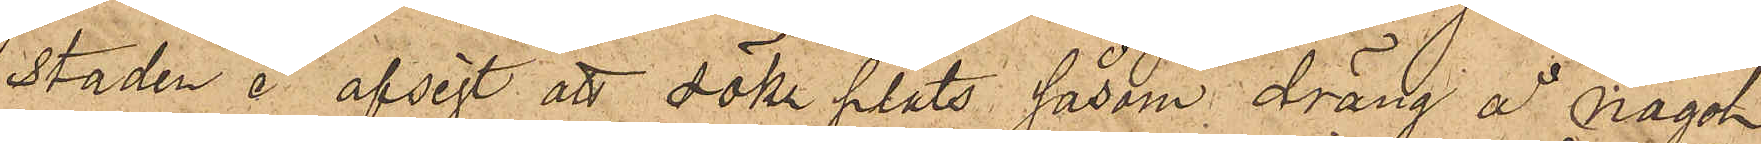staden i afsigt att söka plats såsom dräng å något
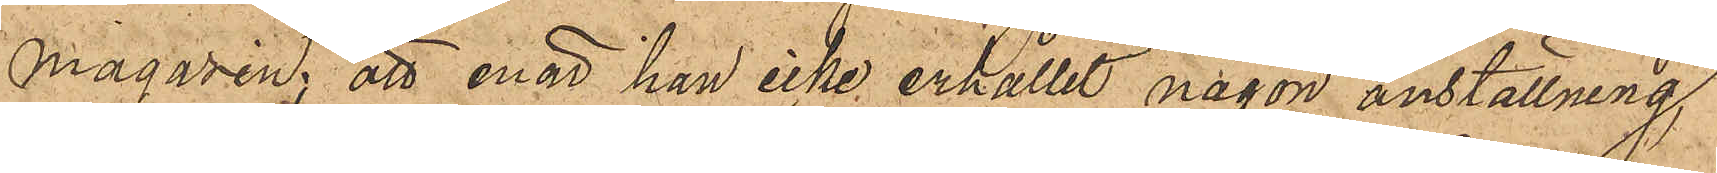magasin; att enär han icke erhållit någon anställning,
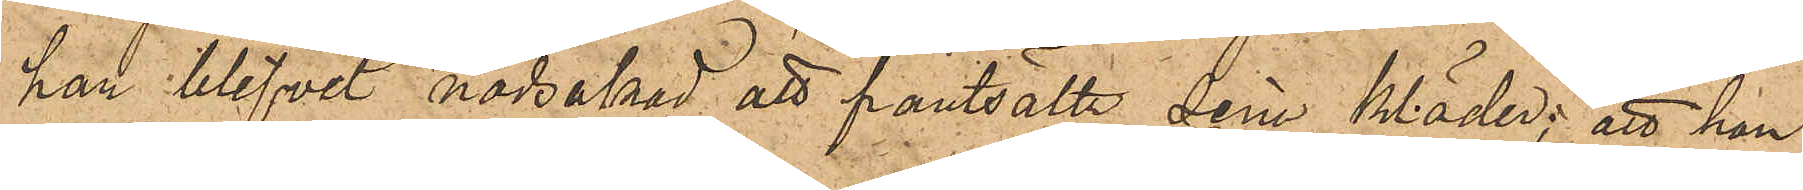han blifvit nödsakad att pantsatta sina kläder; att han
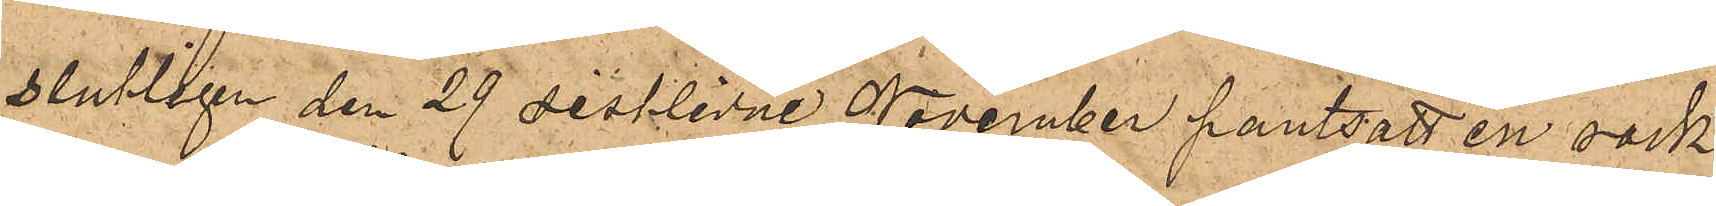slutligen den 29 sistlidne November pantsatt en rock
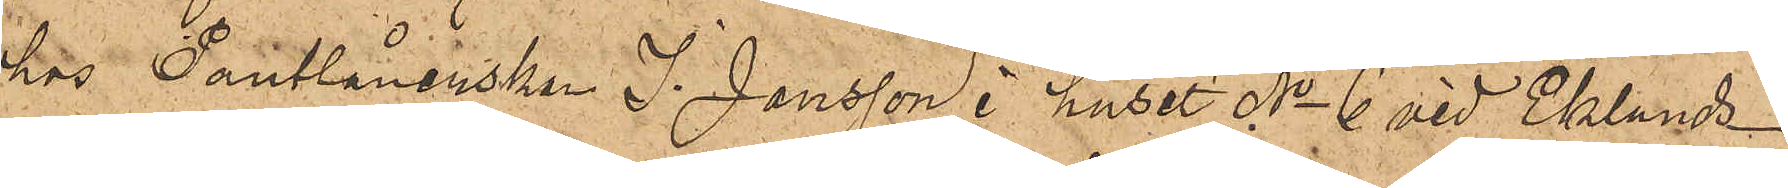hos Pantlånerskan J. Jonsson i huset No 6 vid Eklunds¬
